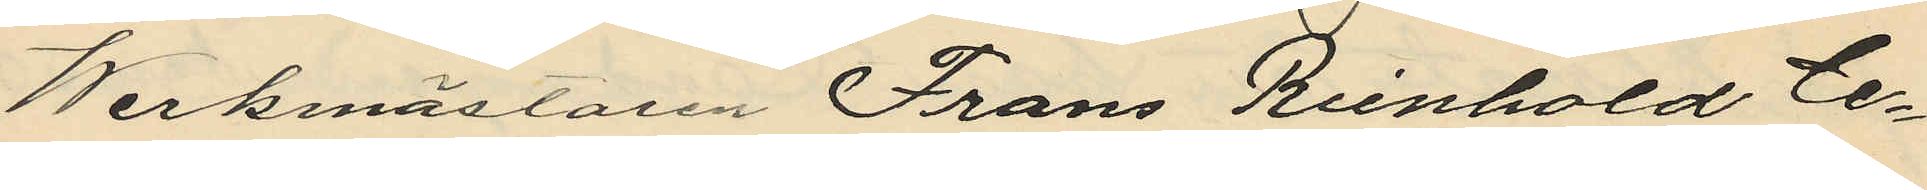Werkmästaren Frans Reinhold Ce¬
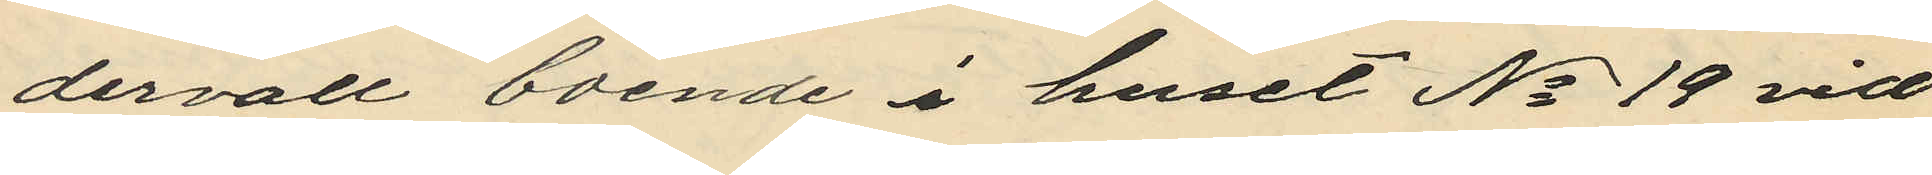dervall boende i huset No 19 vid
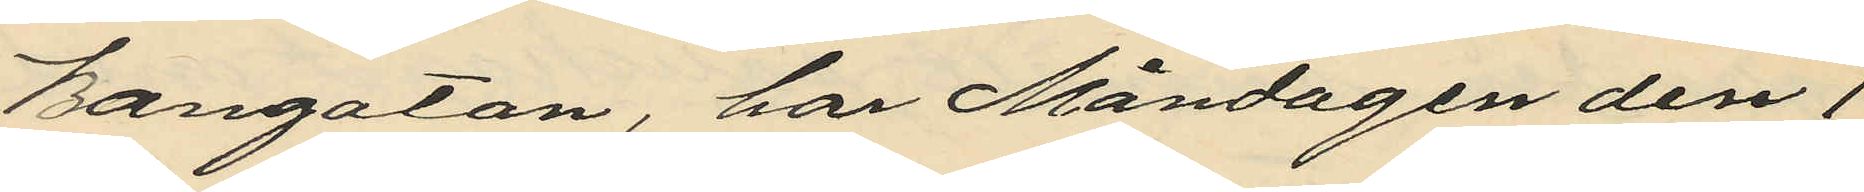Bangatan, har Måndagen den 1
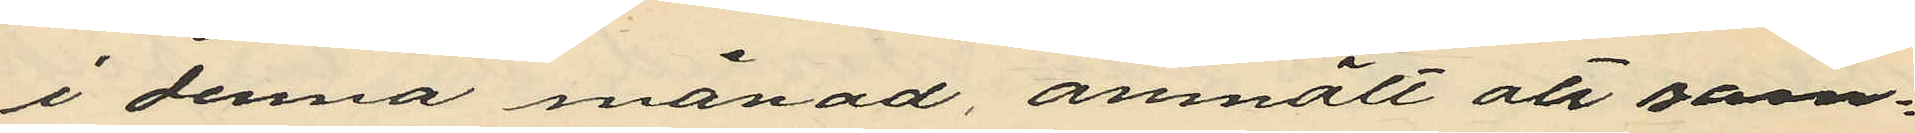i denna månad, anmält att sam¬
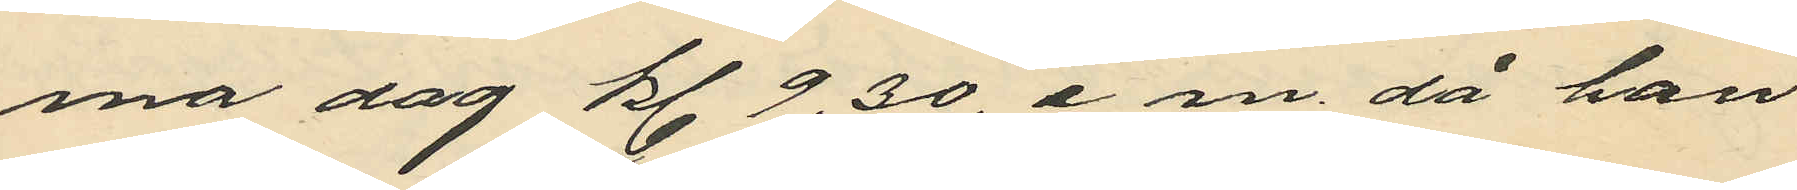ma dag kl. 9.30, e. m. då han
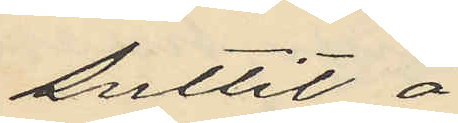suttit å
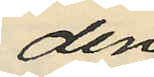den
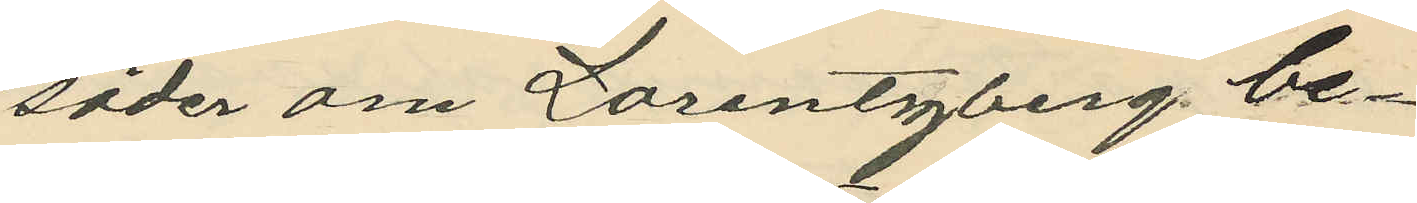söder om Lorentzberg be¬
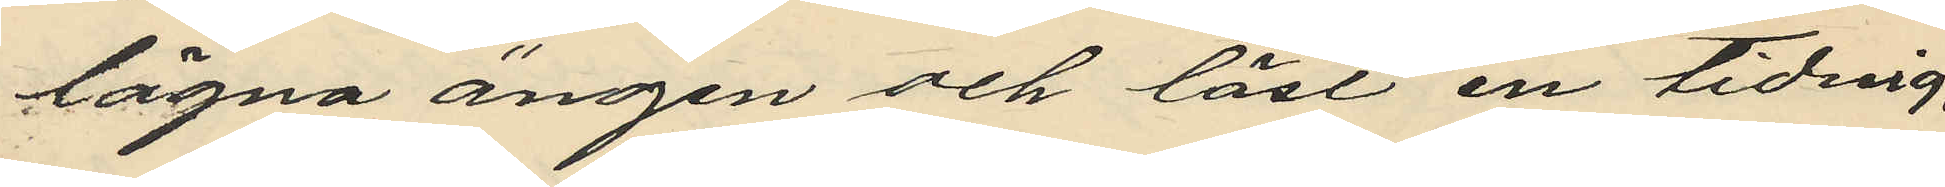lägna ängen och läst en tidnig,
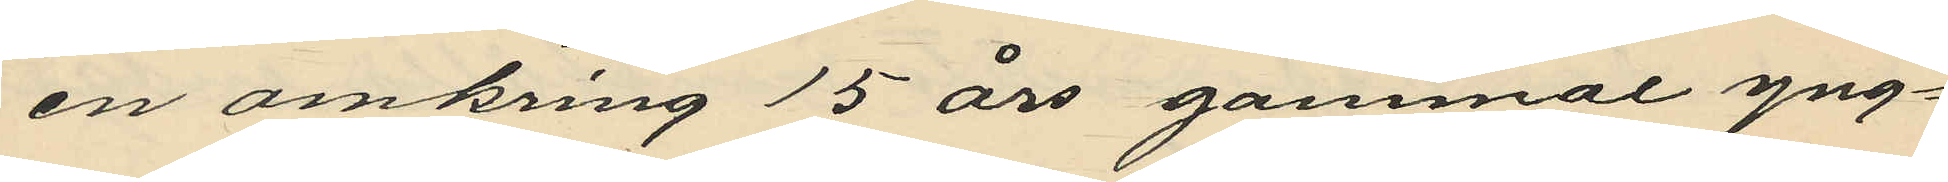en omkring 15 års gammal yng¬
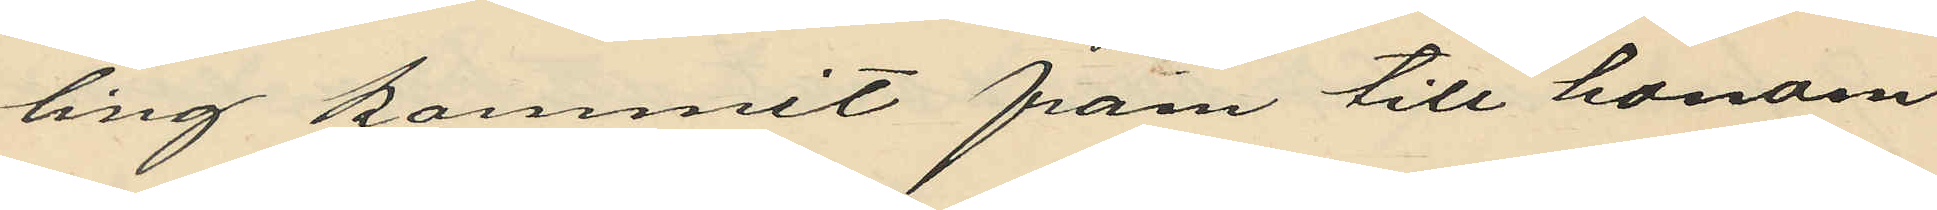ling kommit fram till honom
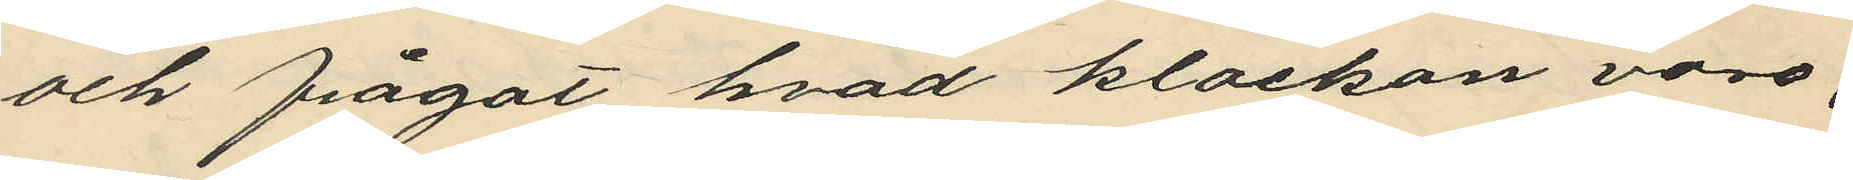och frågat hvad klockan vore;
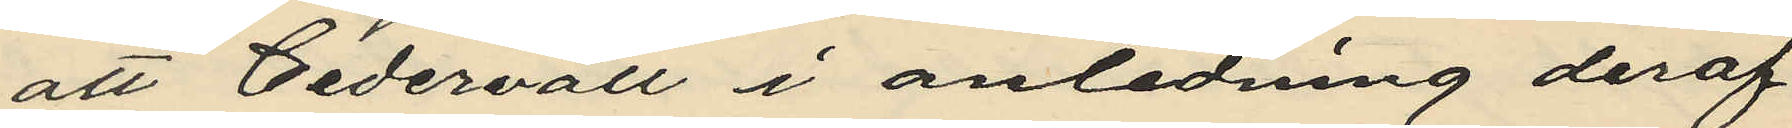att Cedervall i anledning deraf
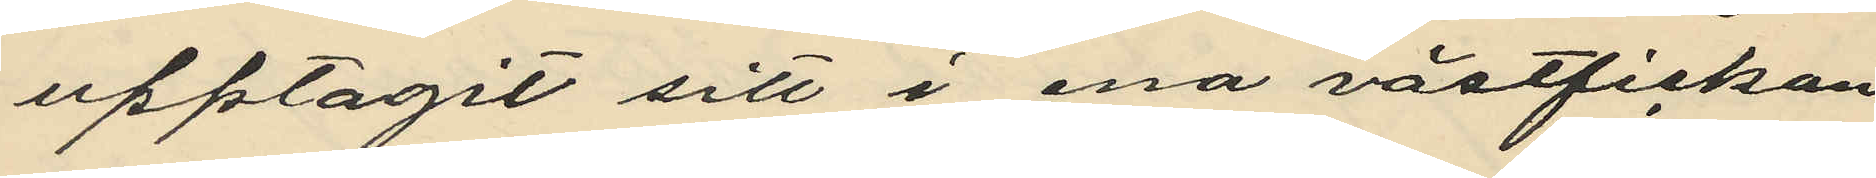upptagit sitt i ena västfickan
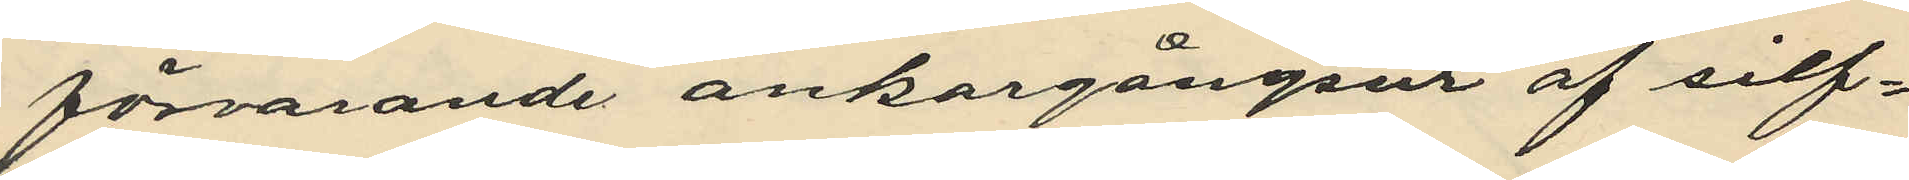förvarande ankargångsur af silf¬
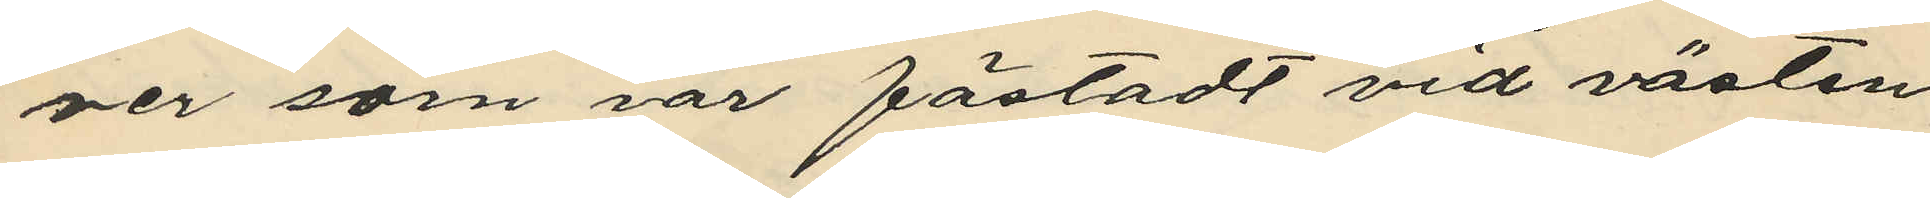ver som var fästadt vid västen
